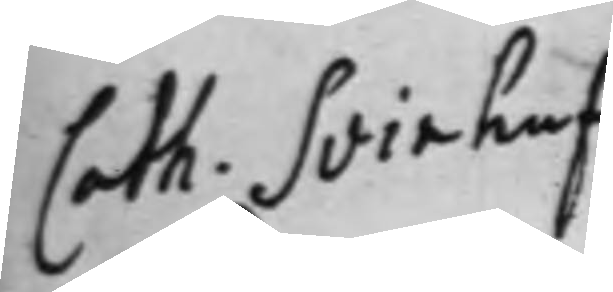Cath. Svinhuf¬
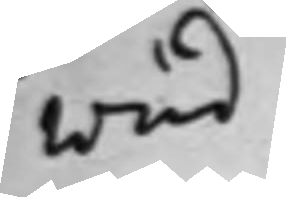wud.
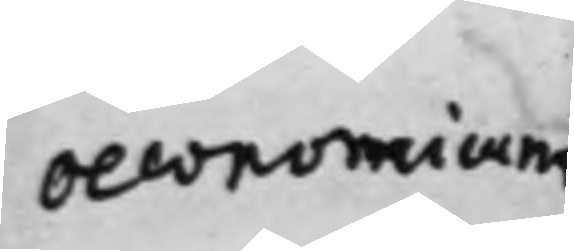oeconomicum
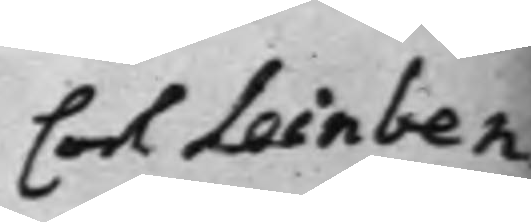Carl Leinben
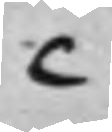C
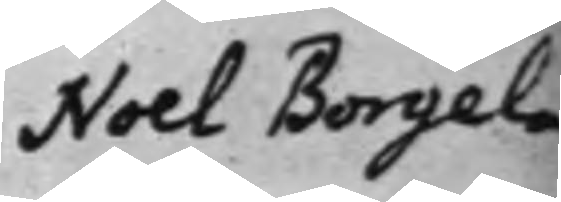Noel Borgela
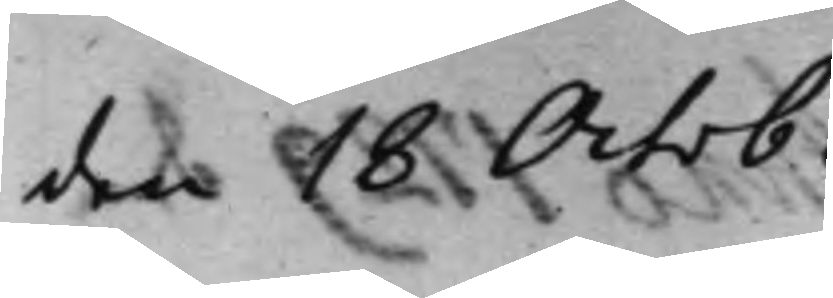den 18 Octob.
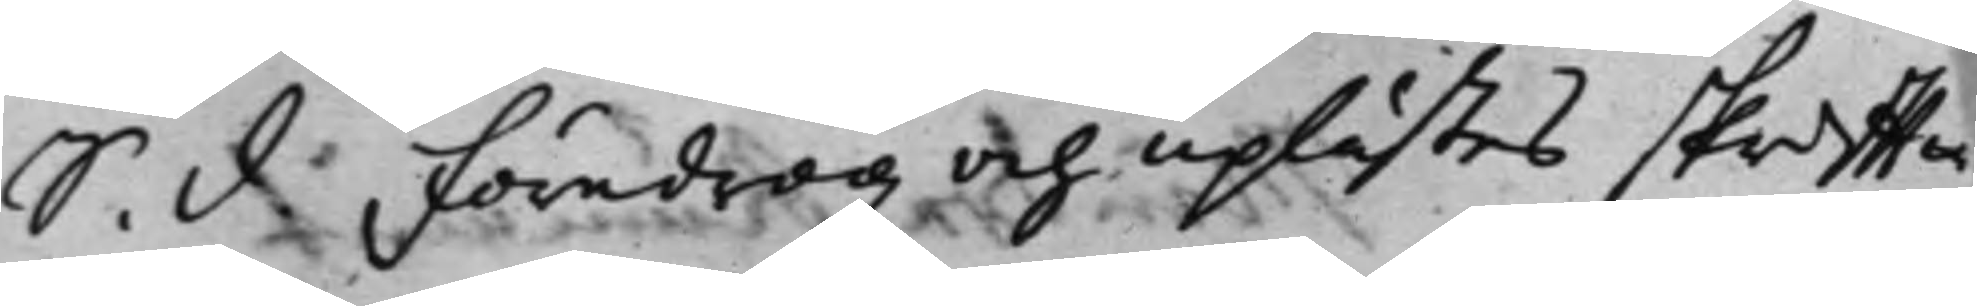S. d. Föredrogz och uplästes skrifftw¬
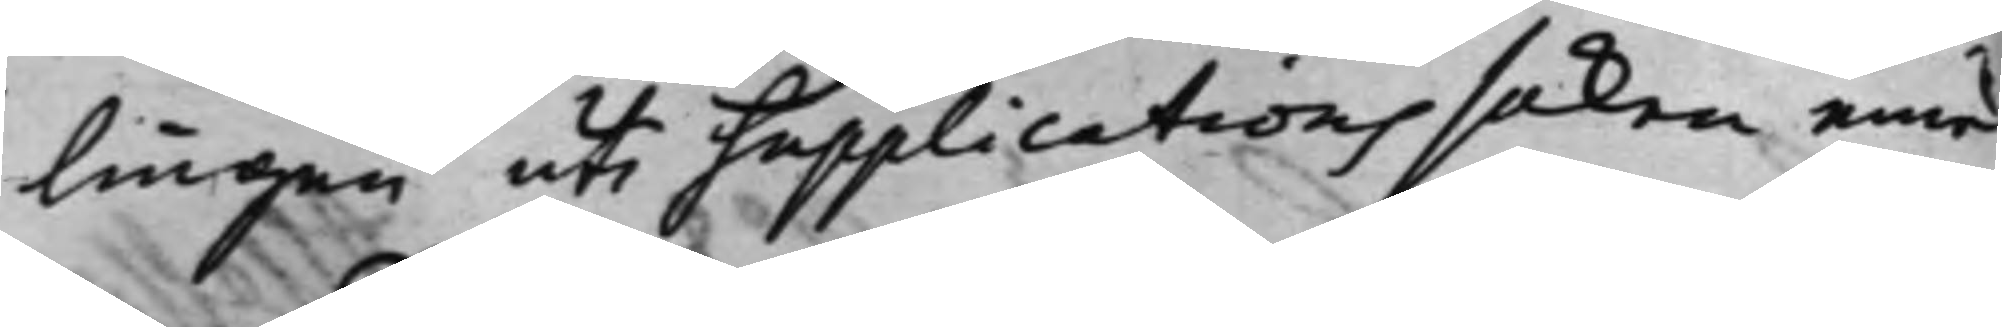lingen uti supplications saken emel¬
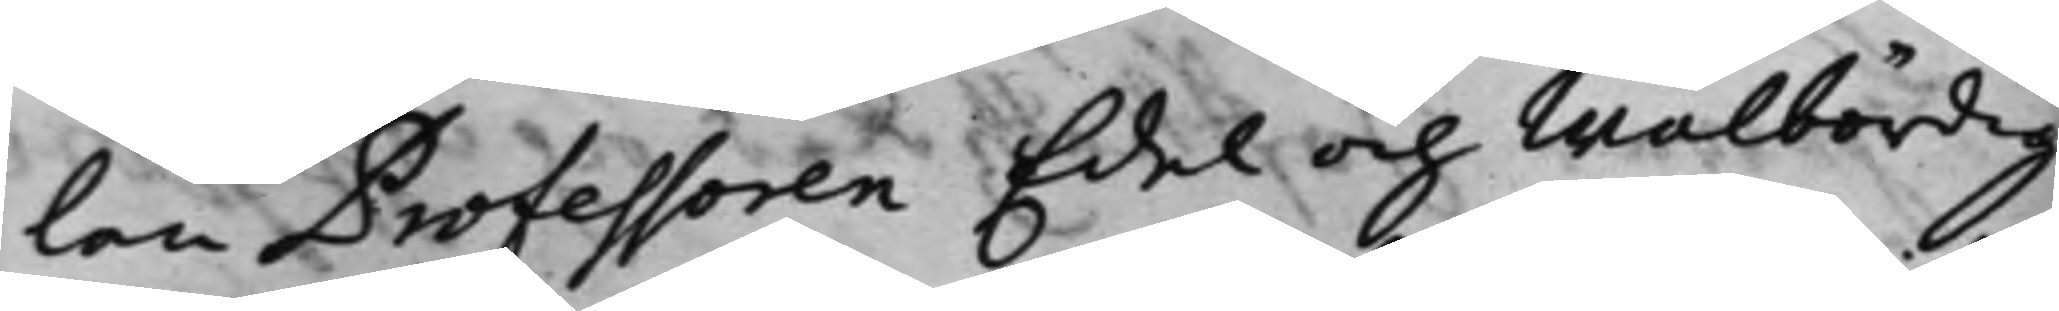lan Professoren Edel och Wälbördig
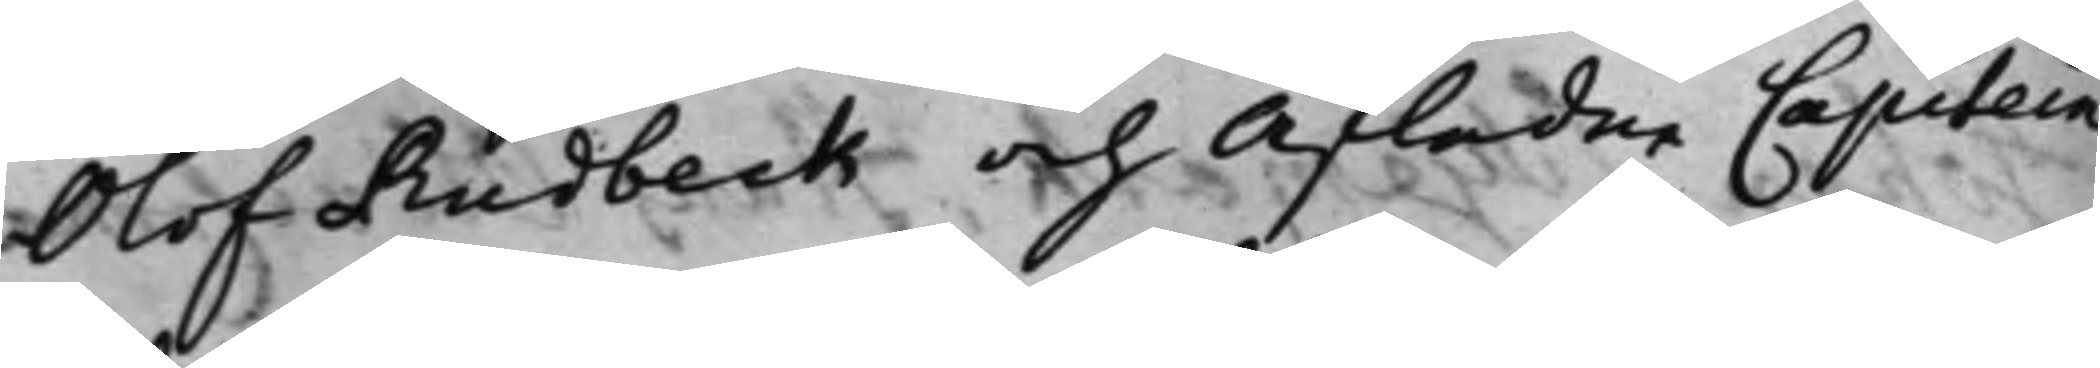Olof Rudbeck och Afledne Capitein
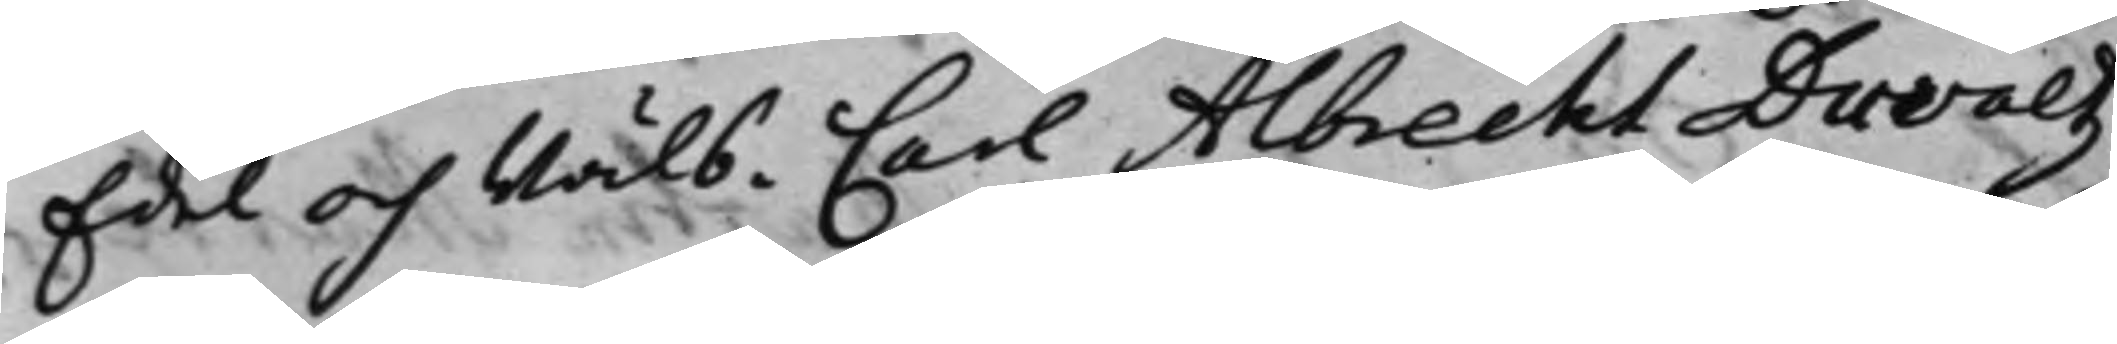Edel och Wälb: Carl Albrecht Duvaltz
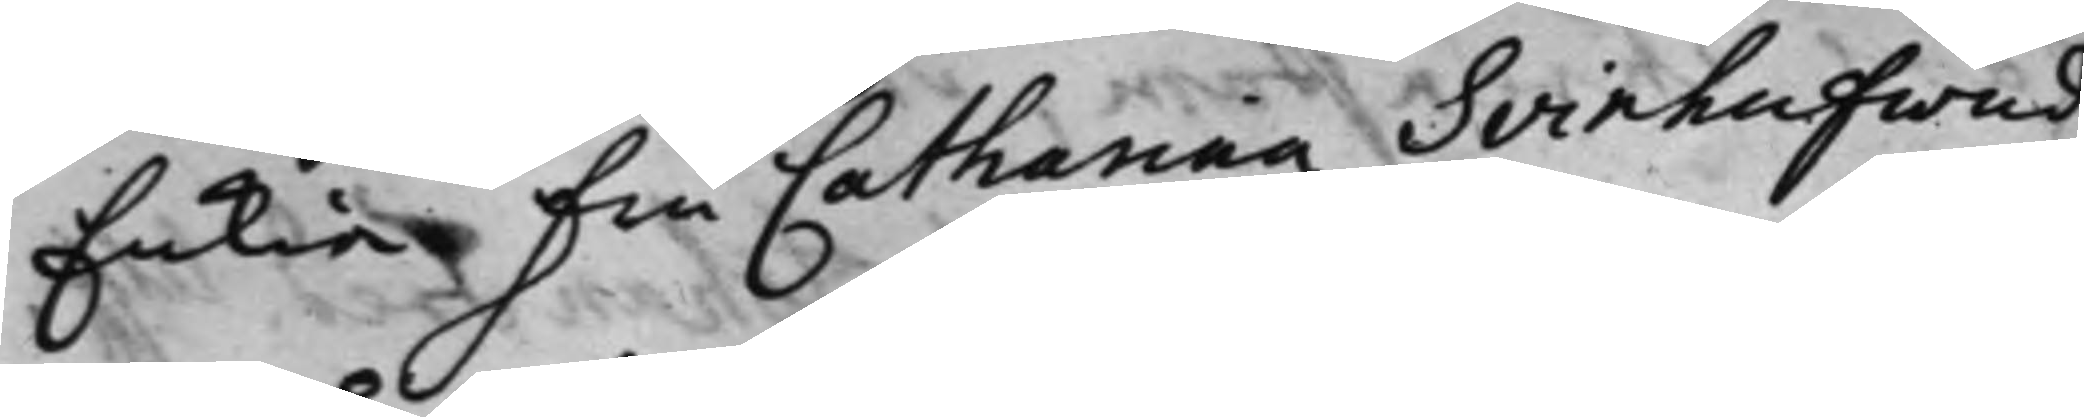Enkia fru Catharina Svinhufwud,
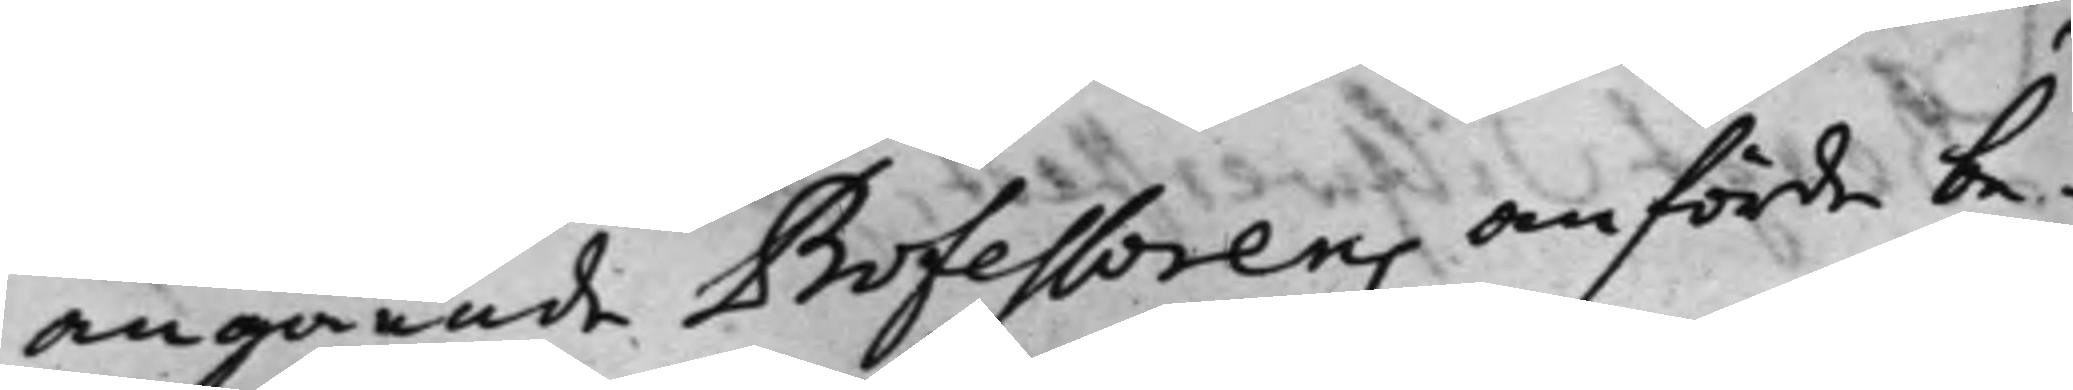angående Professorens anförde be¬
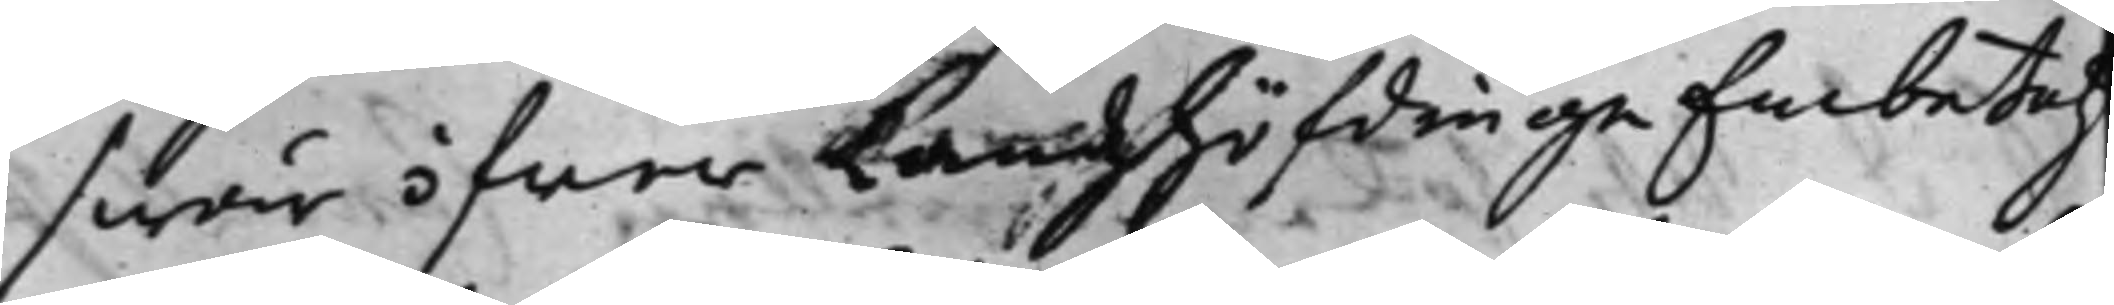swär öfwer Landzhöfdinge Embetetz
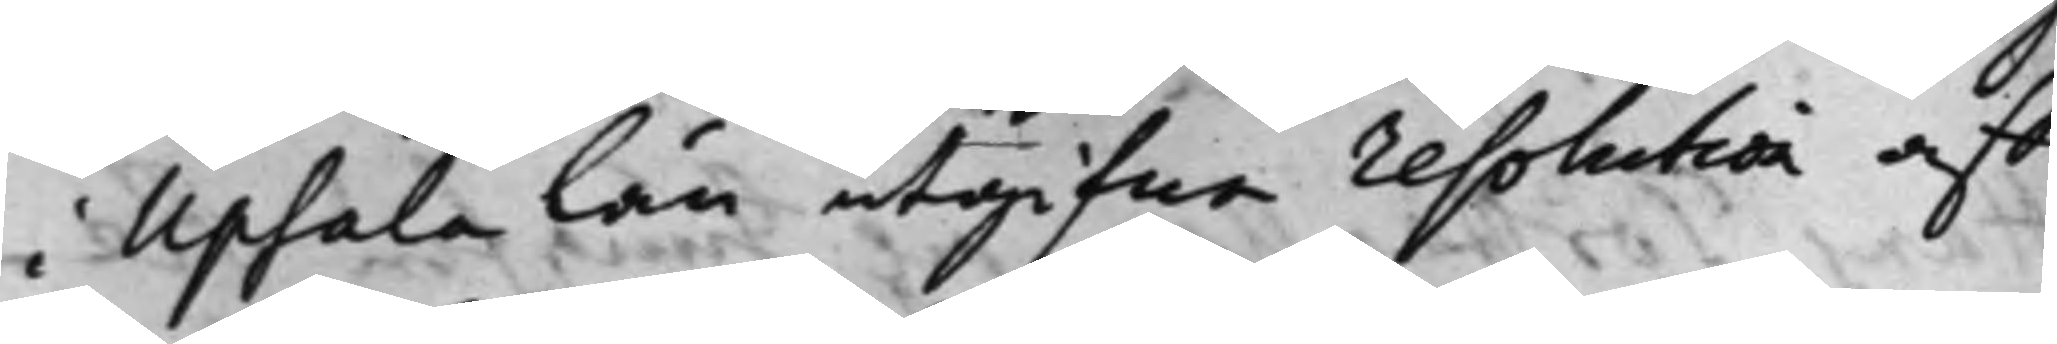i Upsala Län utgifne resolution aff
